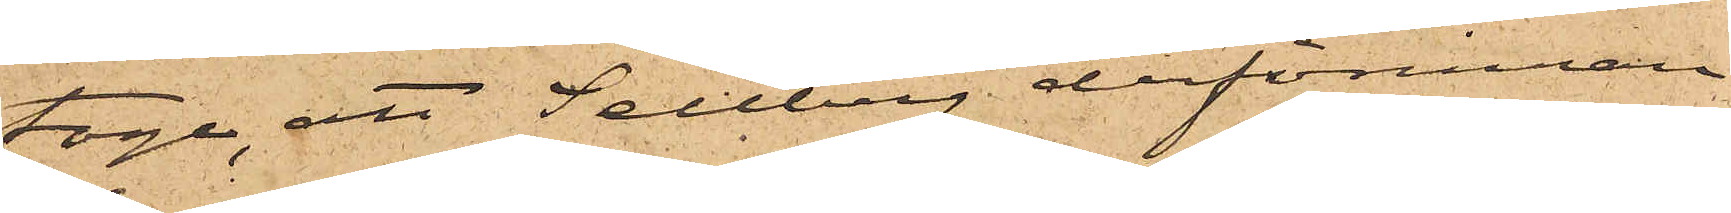toge, att Sellberg derförinnan
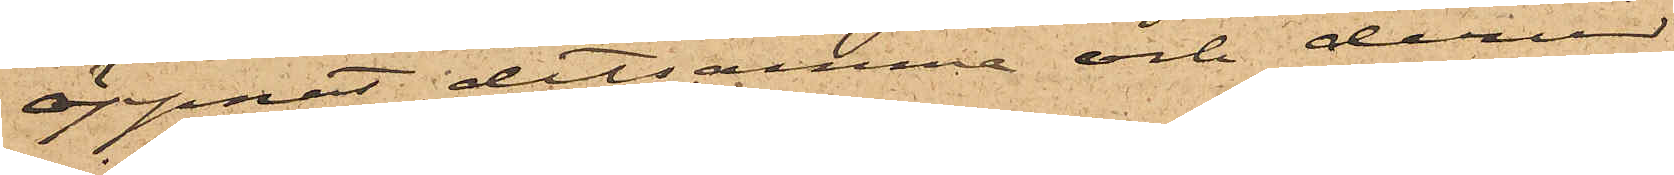öppnat detsamma och derur
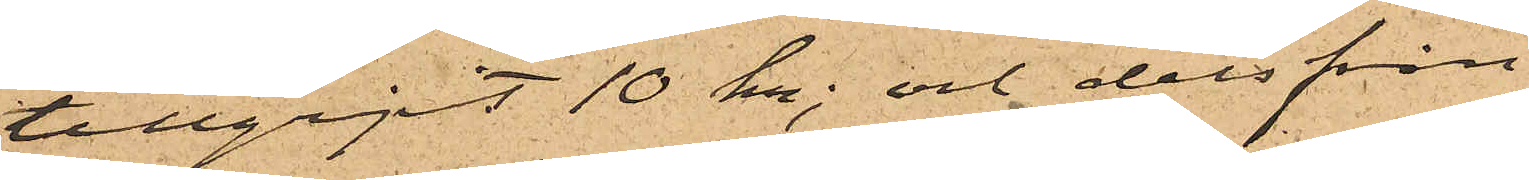tillgripit 10 kr; och dels från
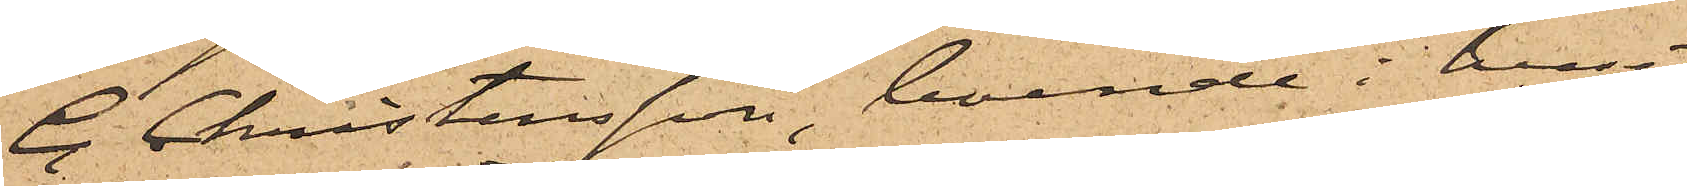C. Christensson, boende i huset
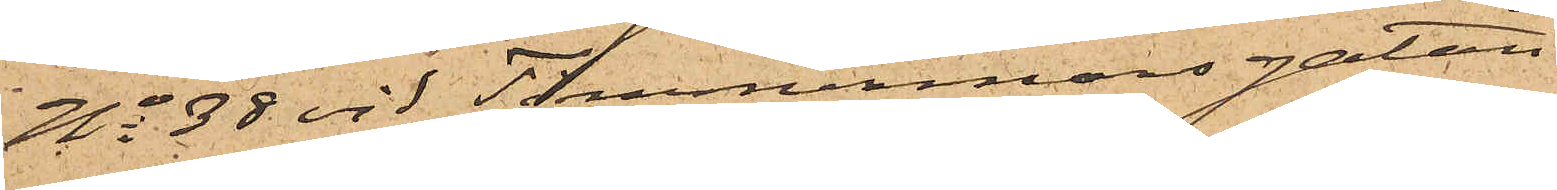No 38 vid Timmermansgatan
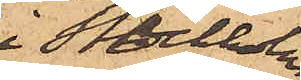i Stockholm,
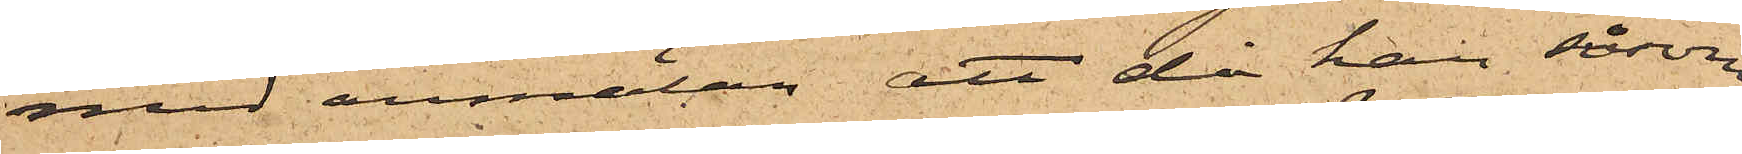med anmälan att då han såsom
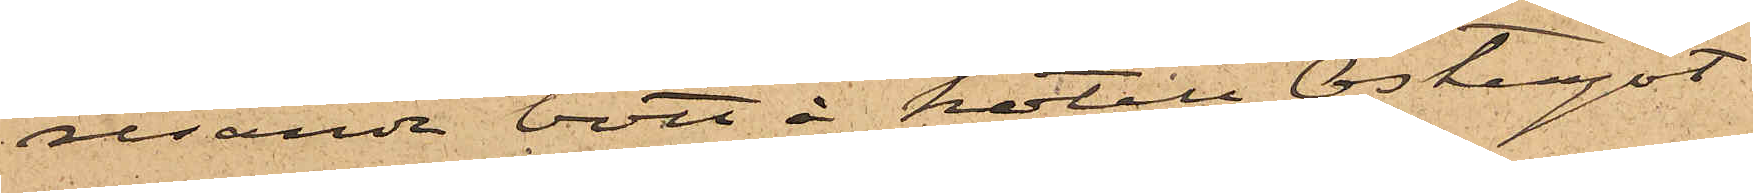resande bott å hotell Östergöt¬
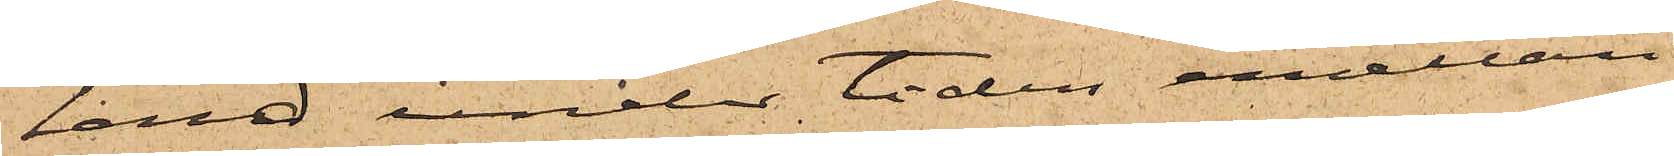land under tiden emellan
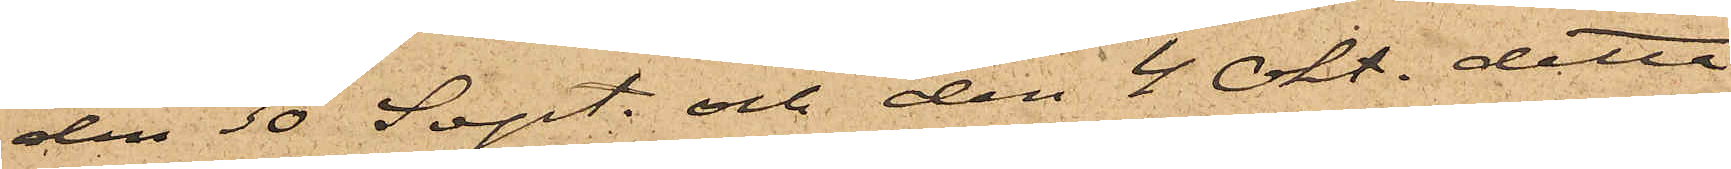den 30 Sept. och den 4 Okt. detta
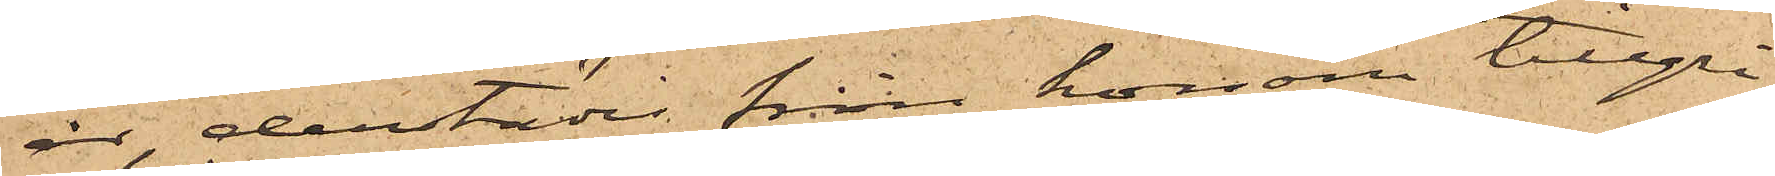år, derstädes från honom tillgri¬
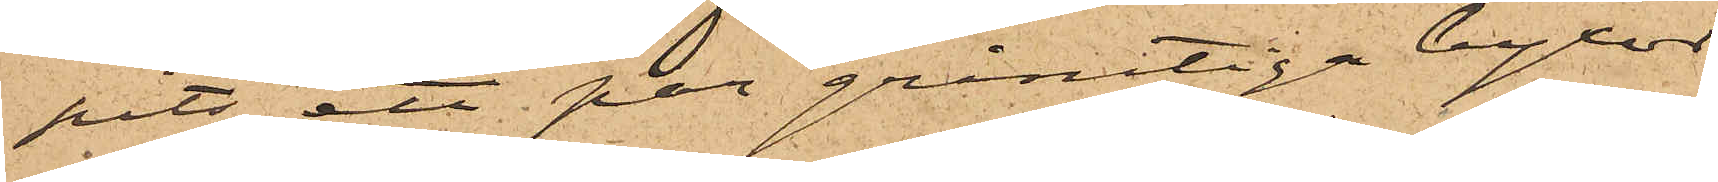pits ett par grårutiga byxor
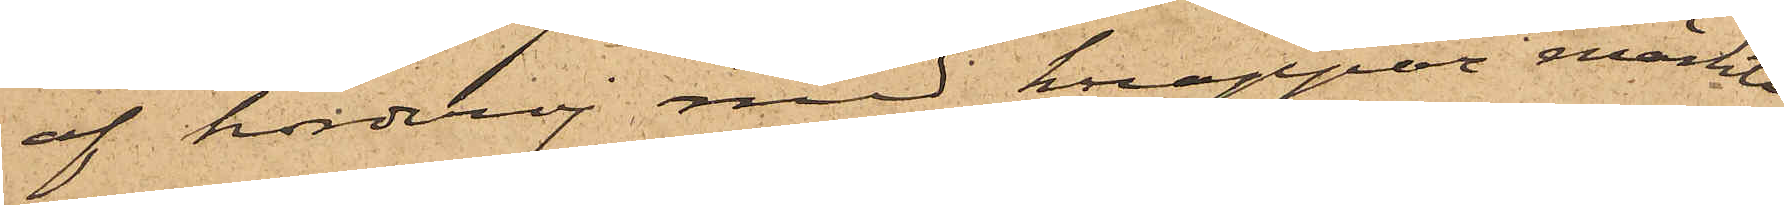af korderoj med knappar märkte
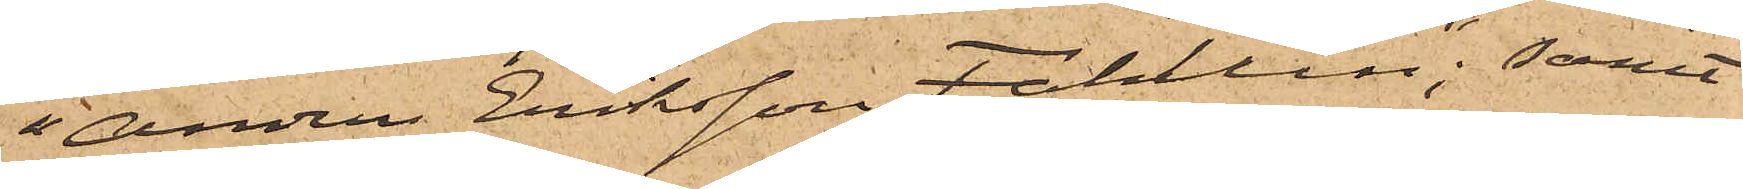"Anders Eriksson Fahlun"; samt
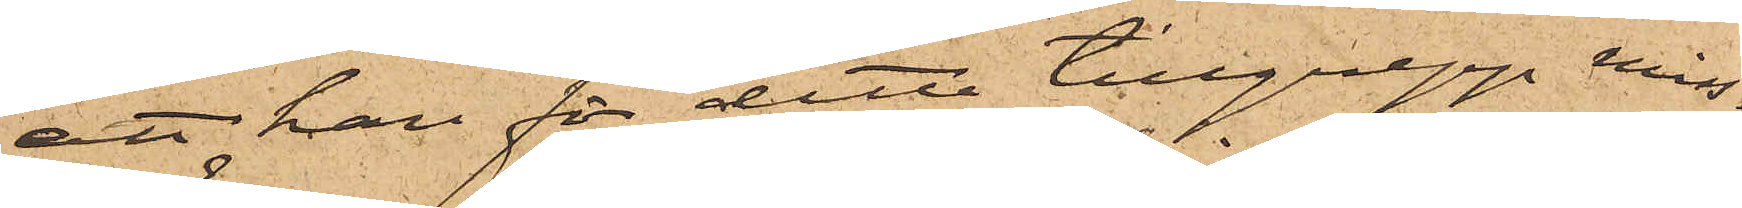att han för detta tillgrepp miss¬
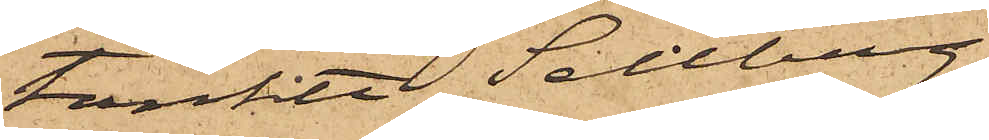tänkte Sellberg
